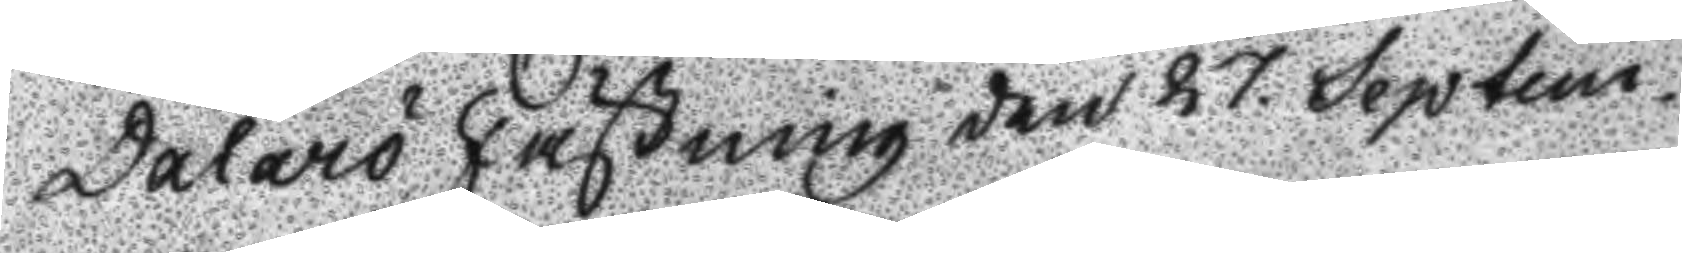Dalarö Fästning den 27 Septem¬
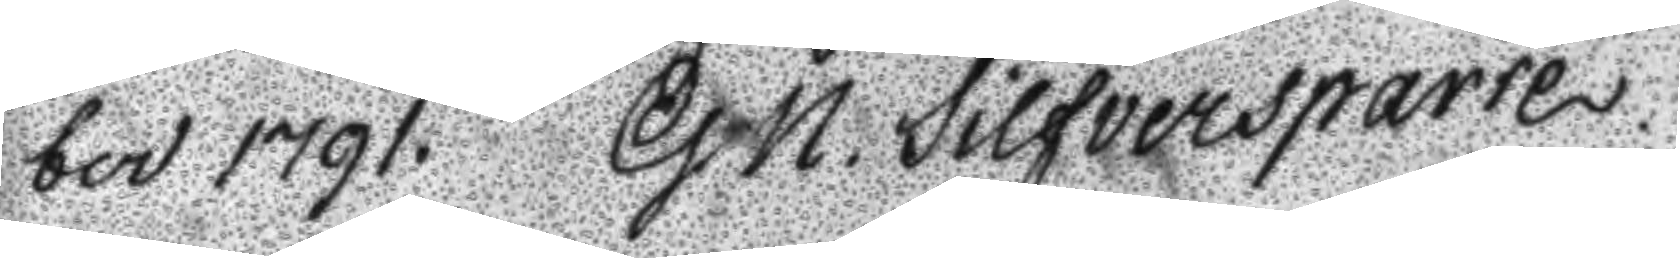ber 1791. G. N. Silfversparre.
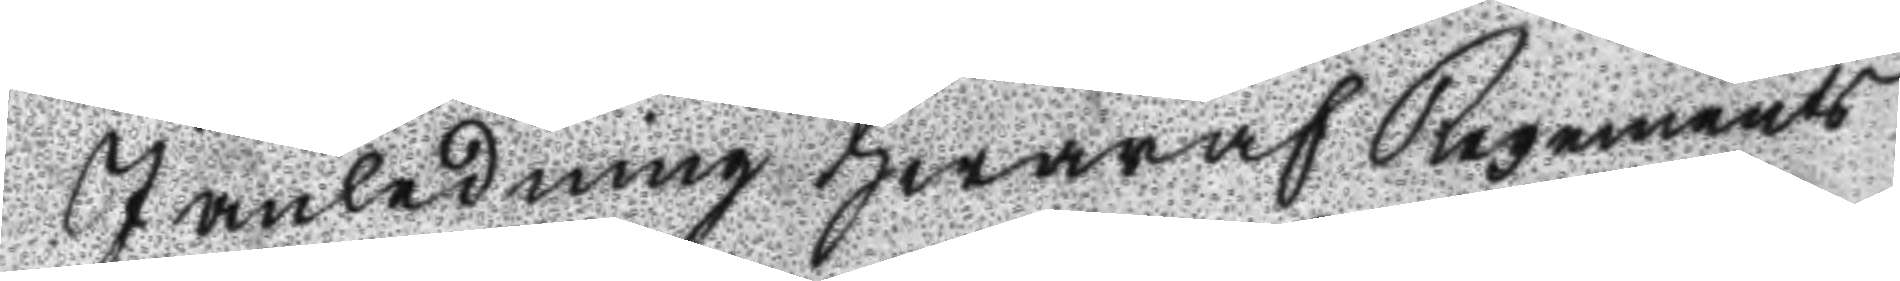I naledning hwaraf regements
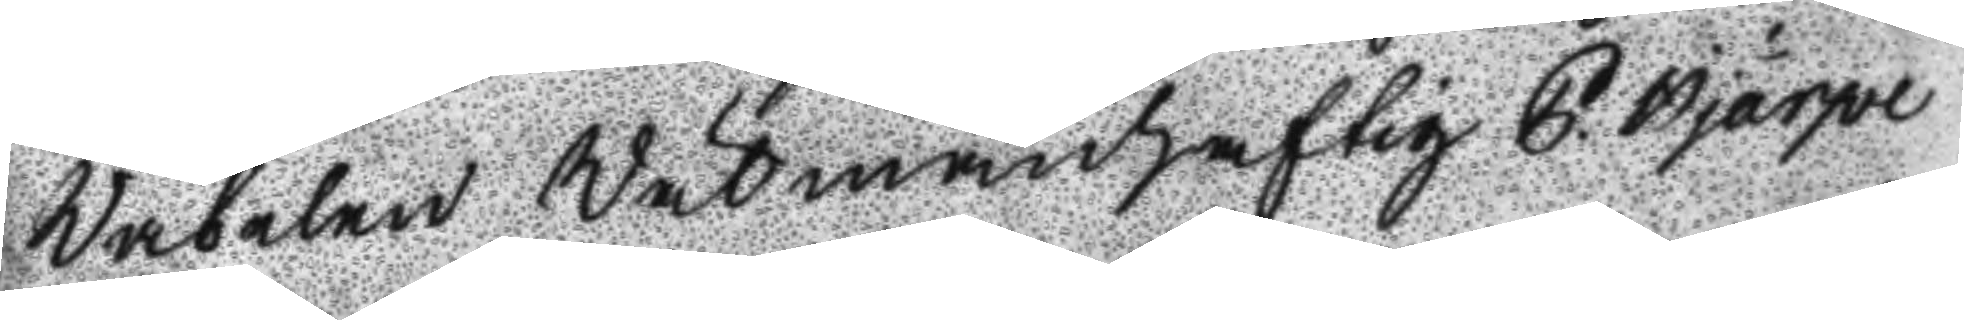Wäbelen Wälmanhaftig P. Hjärpe
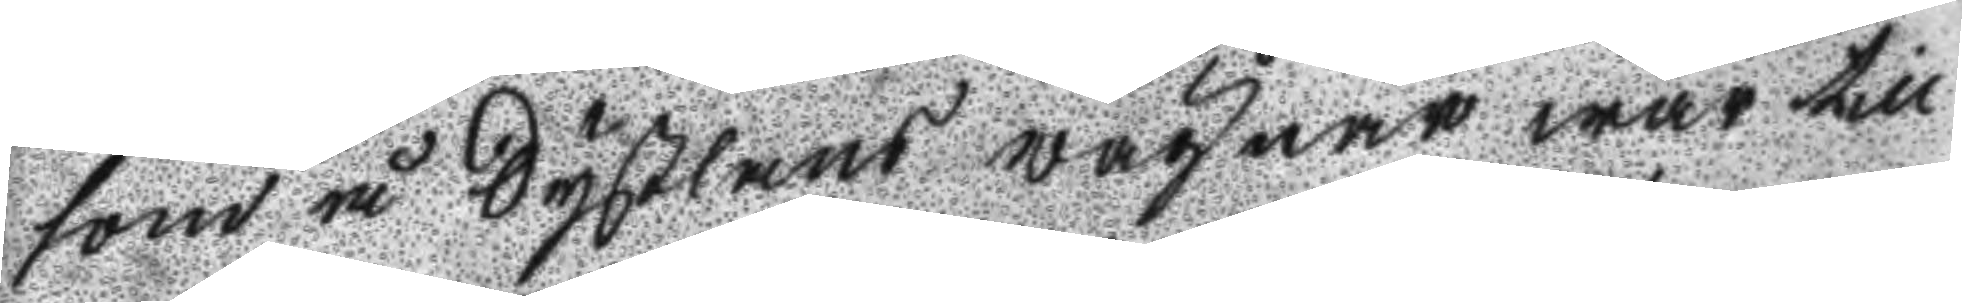som å Syßlans wägnar war till
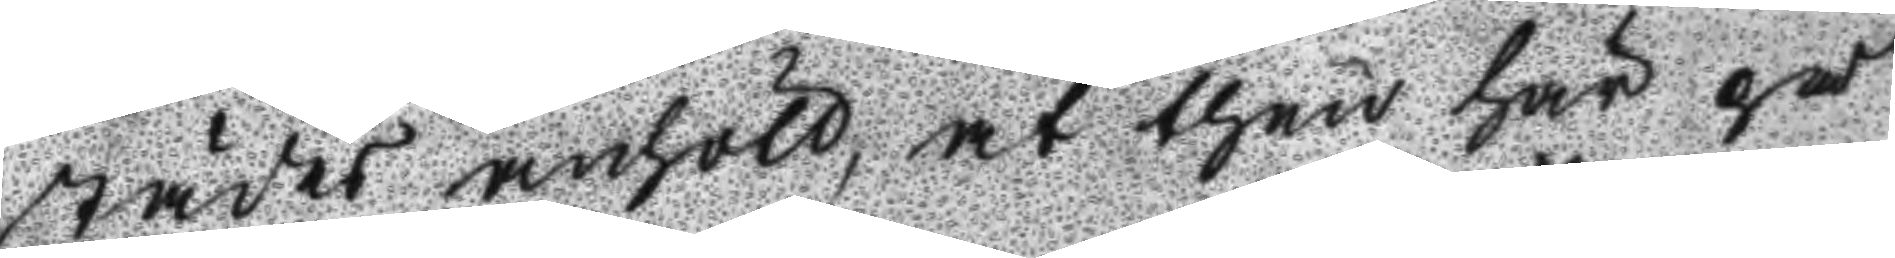städes anhöll, at then här på
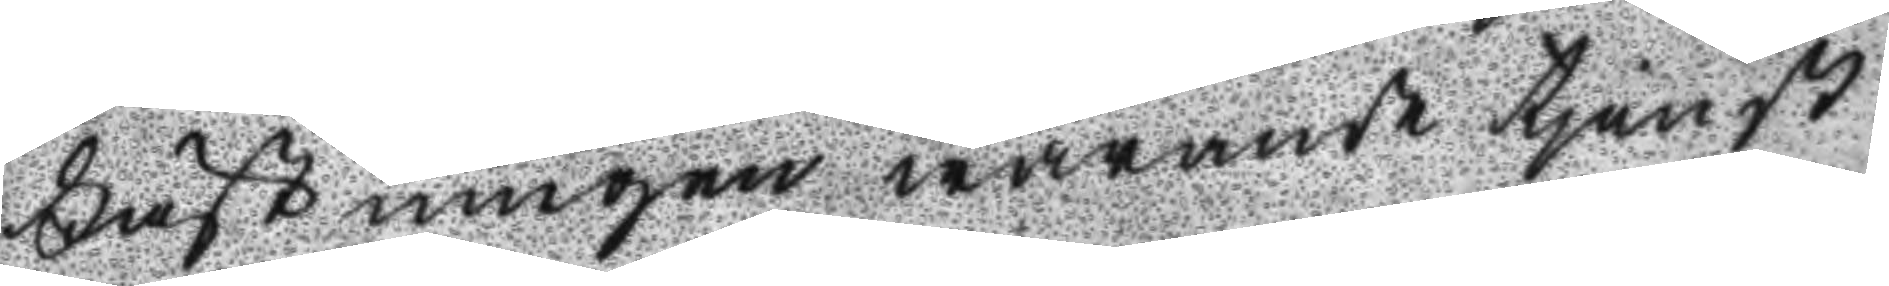Fästningen warande tjenst
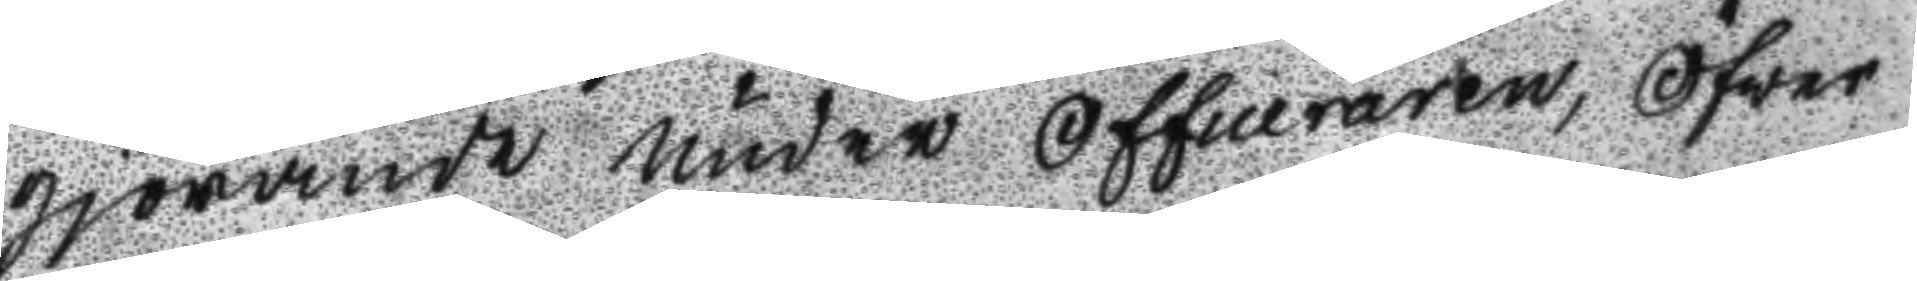gjörande under officeraren, Öfwer
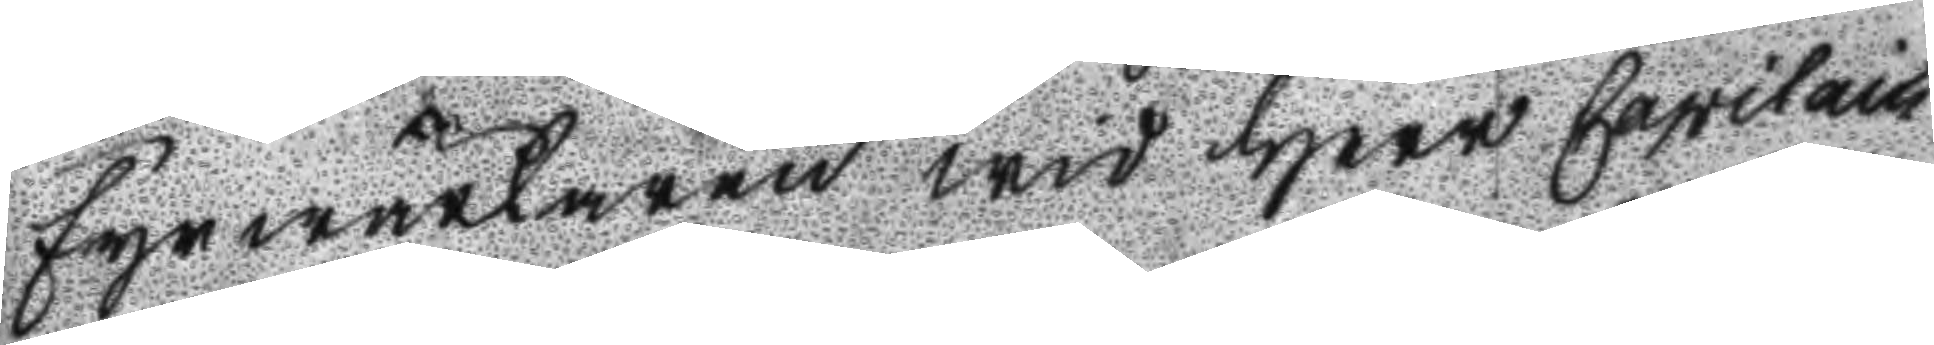Fyrwärlaren wid Herr Capitain
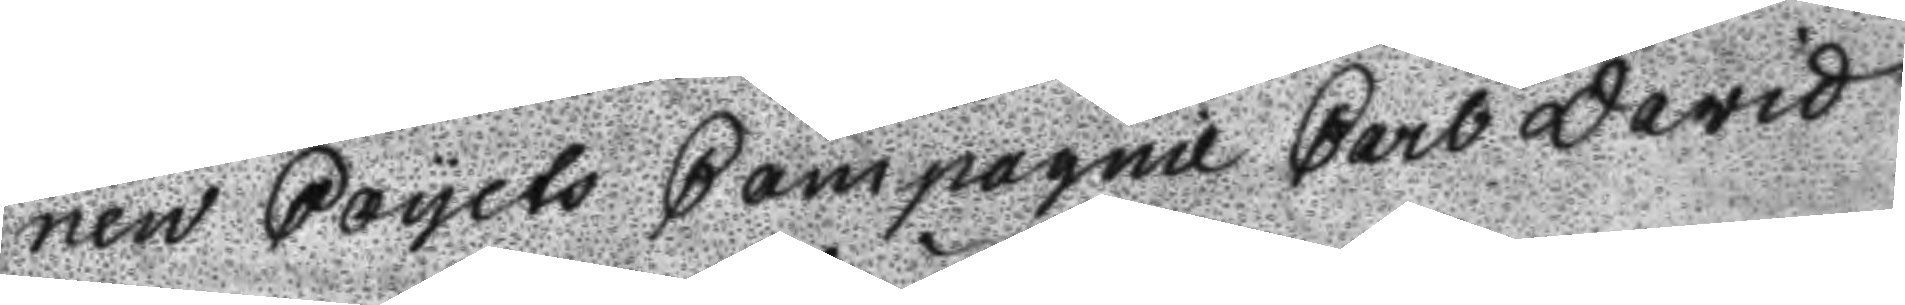nen Ciyets Compagnie carl David
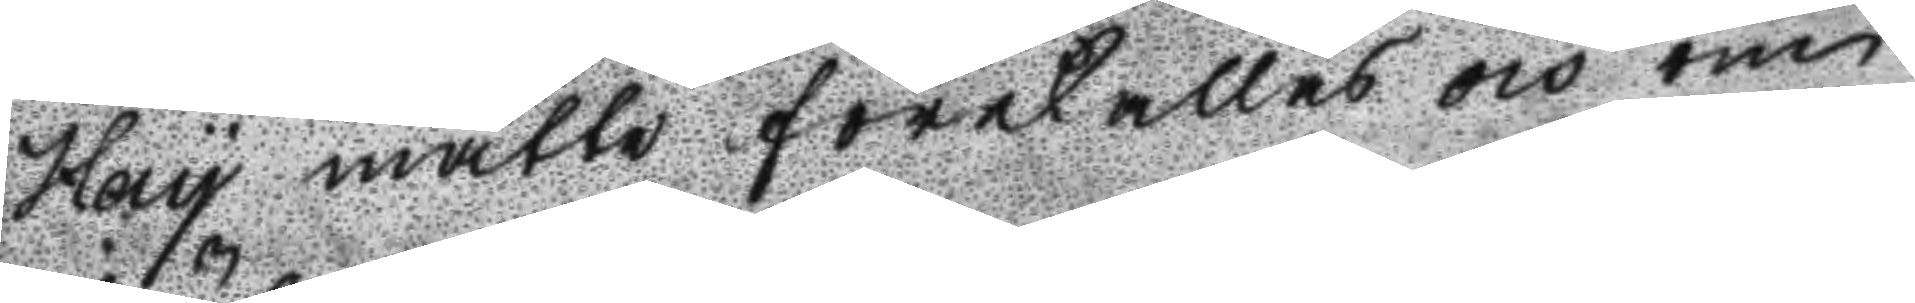Hay måtte förekallas och om
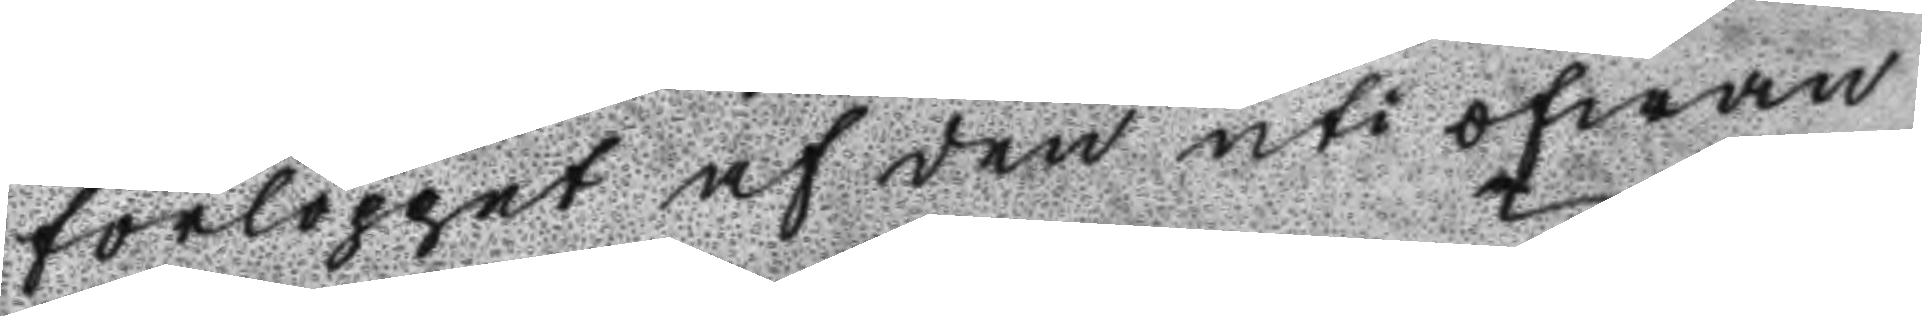förloppet af den uti ofwan
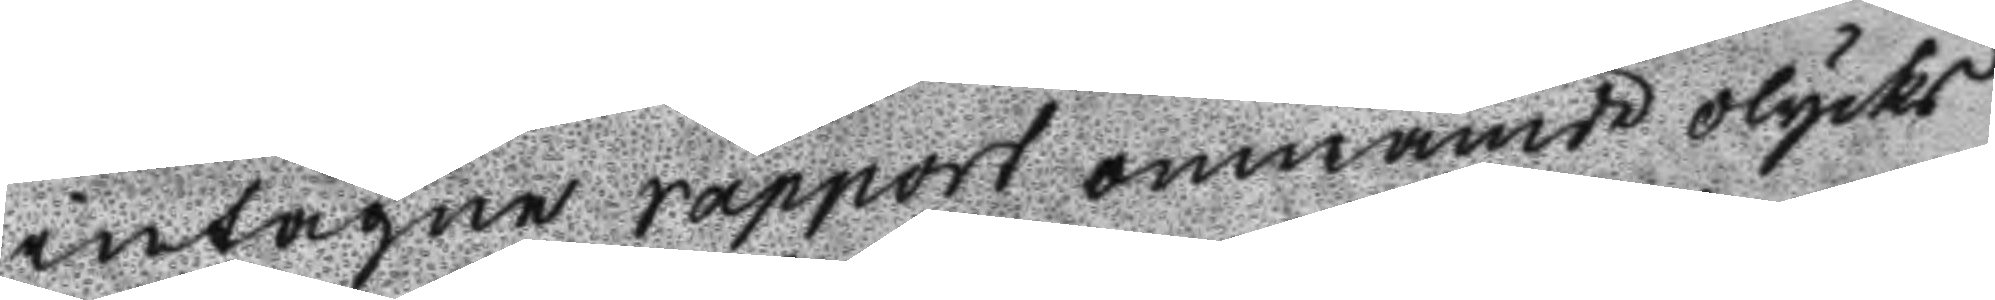intagne rapport omnämde olycks
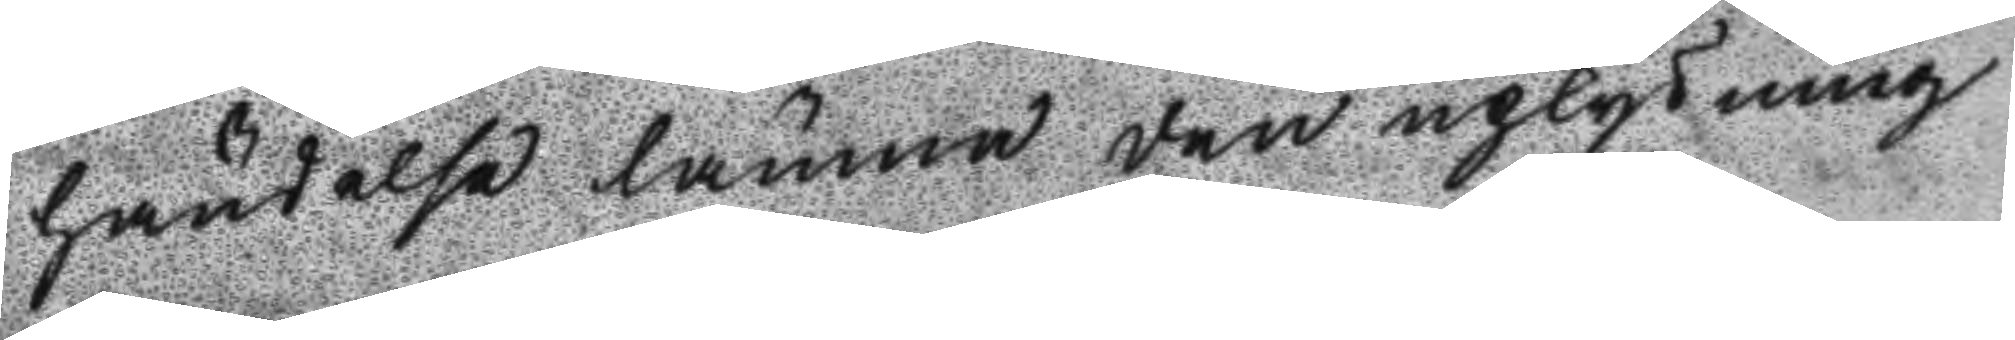händels lämna den uplysning
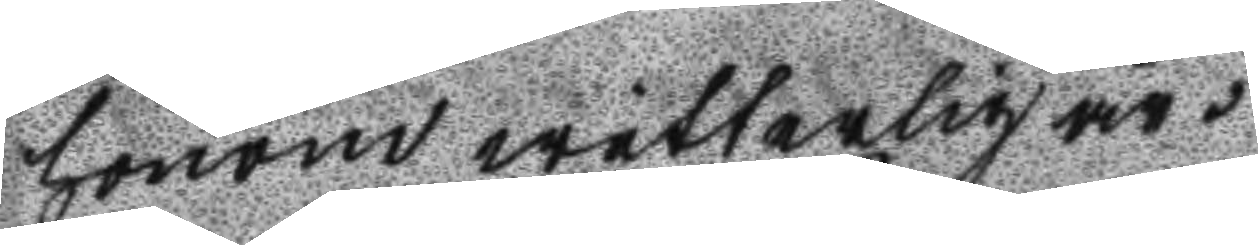honom wetterlig är.
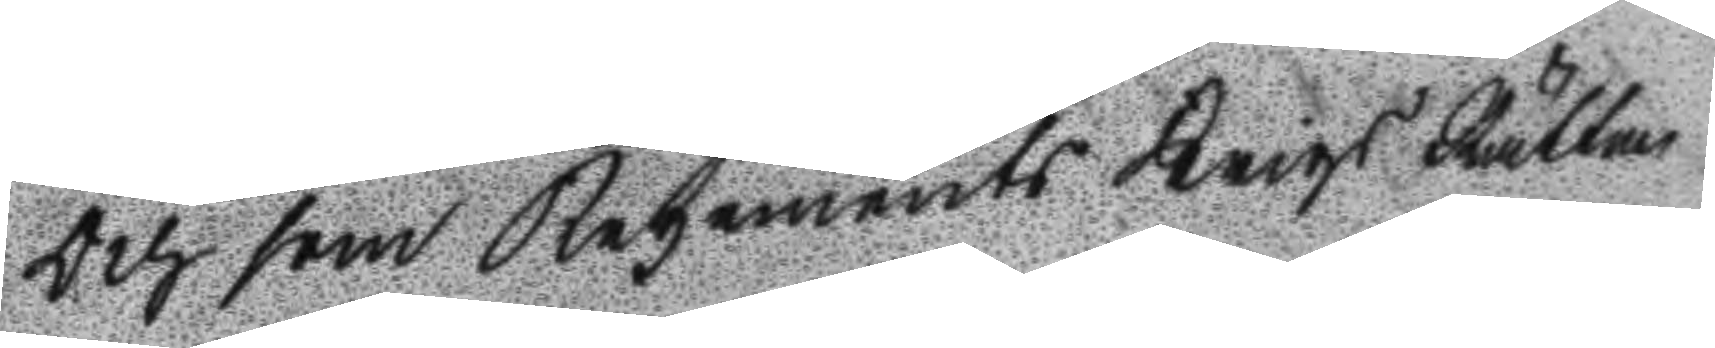Och som Regements Krigs Rätten
